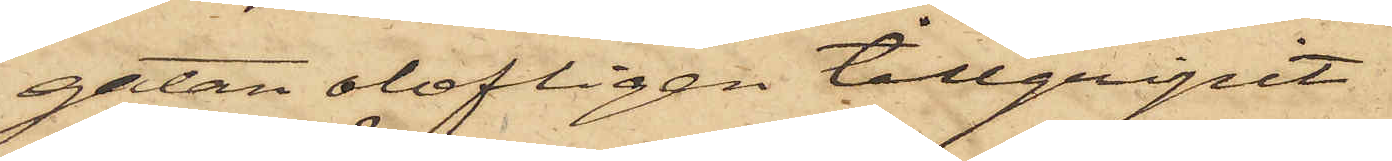gatan olofligen tillgripit
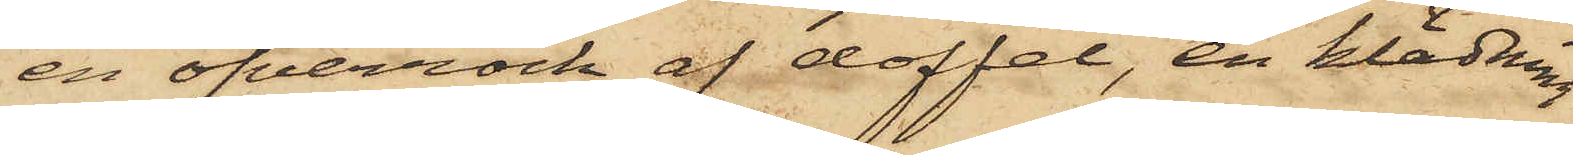en öfverrock af doffel, en klädning
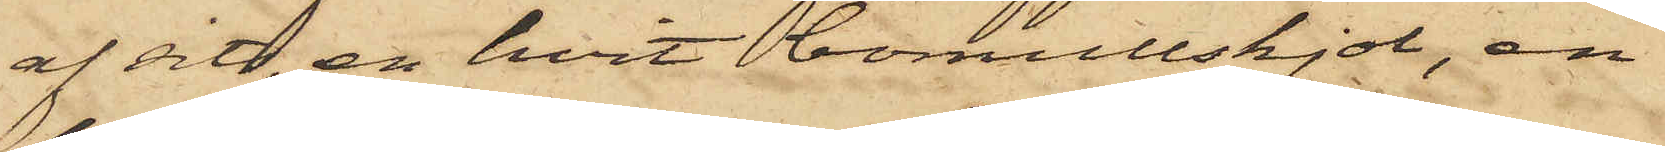af sits, en hvit bomullskjol, en
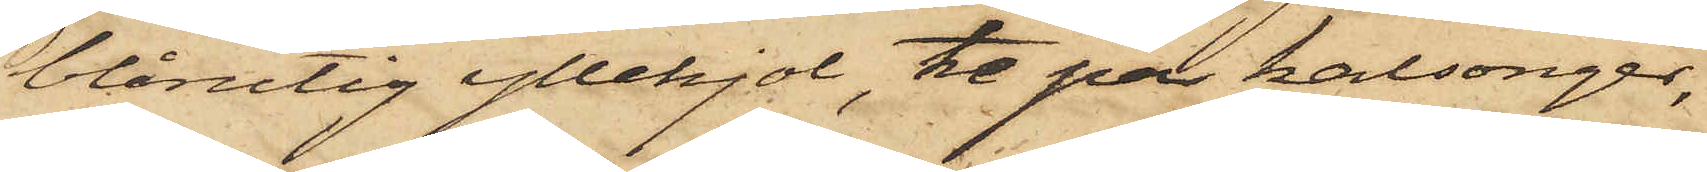blårutig yllekjol, tre par kalsonger,
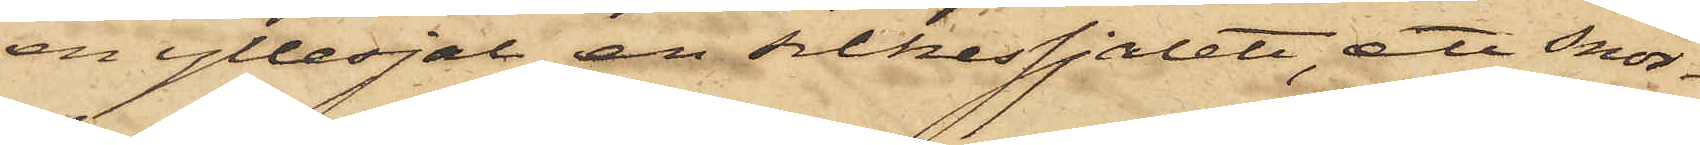en yllesjal, en silkessjalett, att snör¬
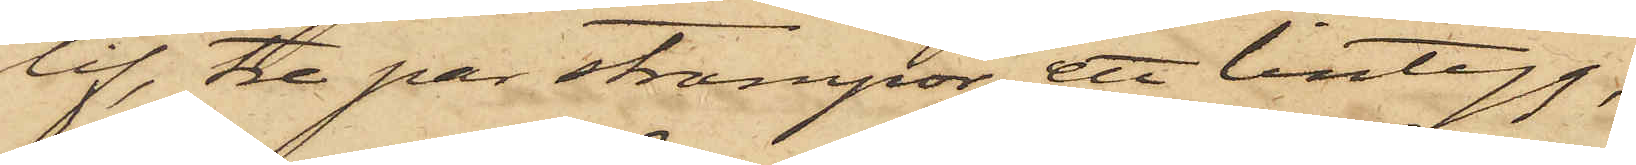lif, tre par strumpor, ett lintyg,
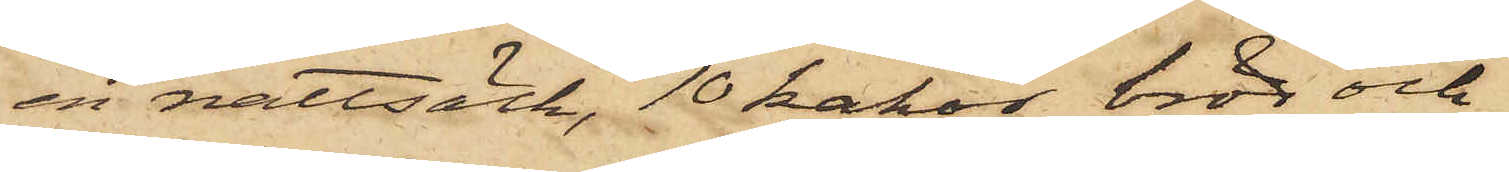en nattsäck, 10 kakor bröd och
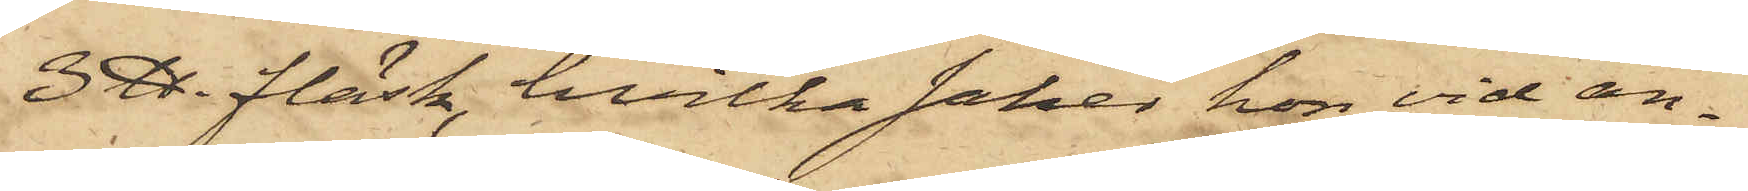3 ℔. fläsk, hvilka saker hon vid an¬
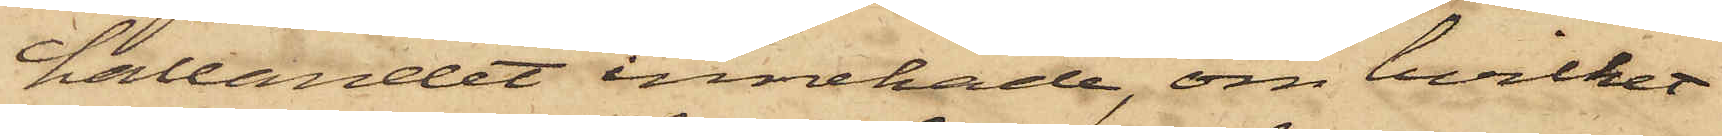hållandet innehade, om hvilket
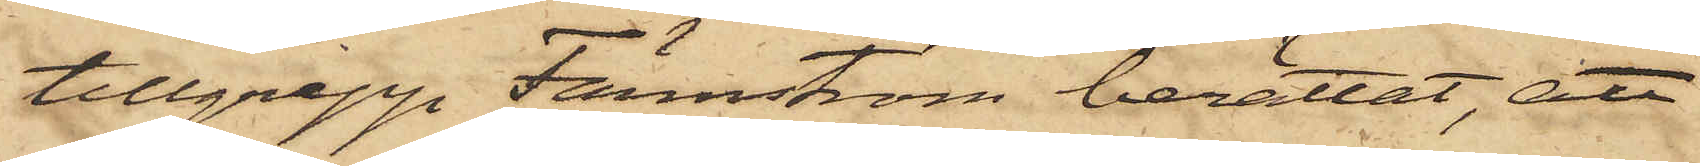tillgrepp Färnström berättat, att
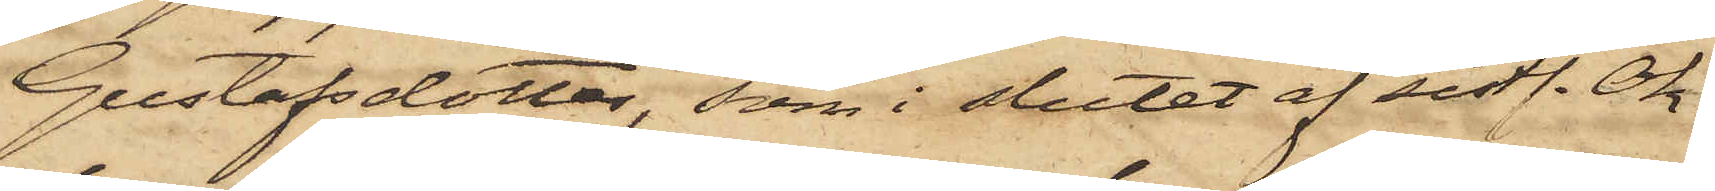Gustafsdotter, som i slutet af sistl. Ok¬
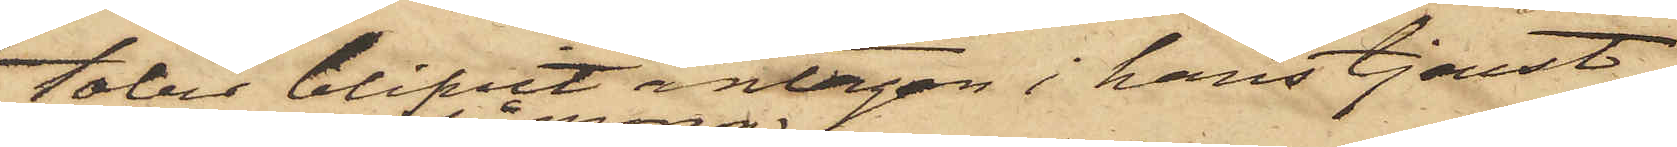tober blifvit antagen i hans tjenst,
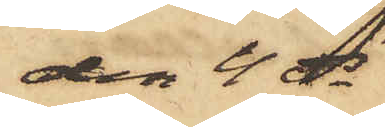den 4 ds
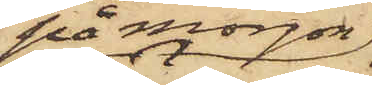på morgon
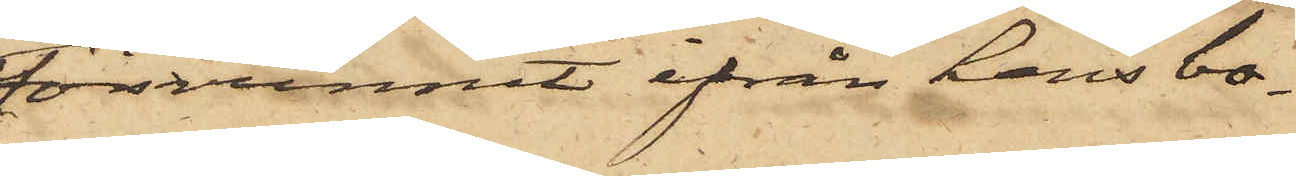försvunnit ifrån hans bo¬
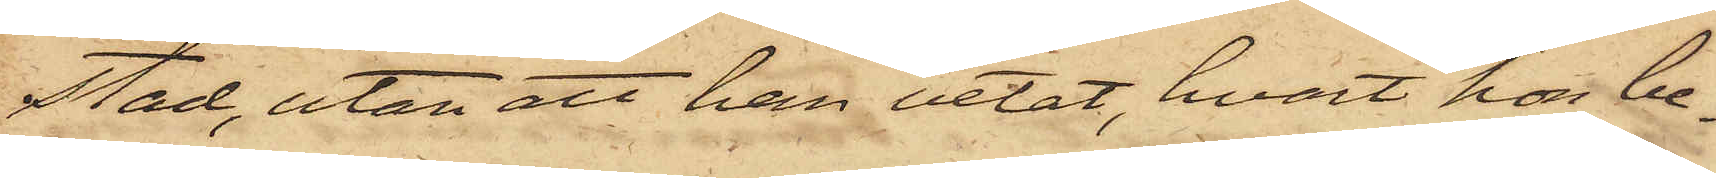stad, utan att han vetat, hvart hon be¬
